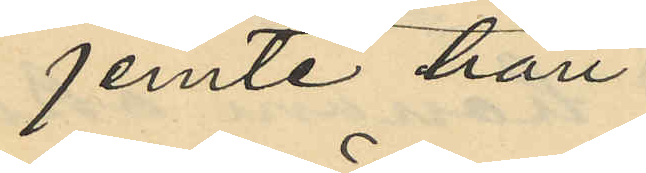jemte han
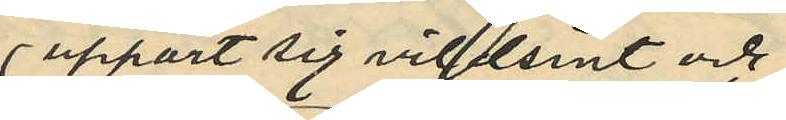uppfört sig villtsint och
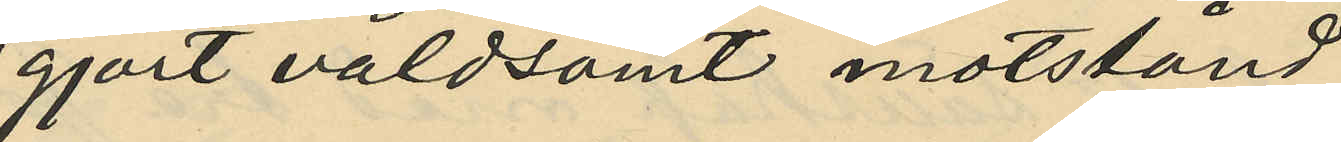gjort våldsamt motstånd
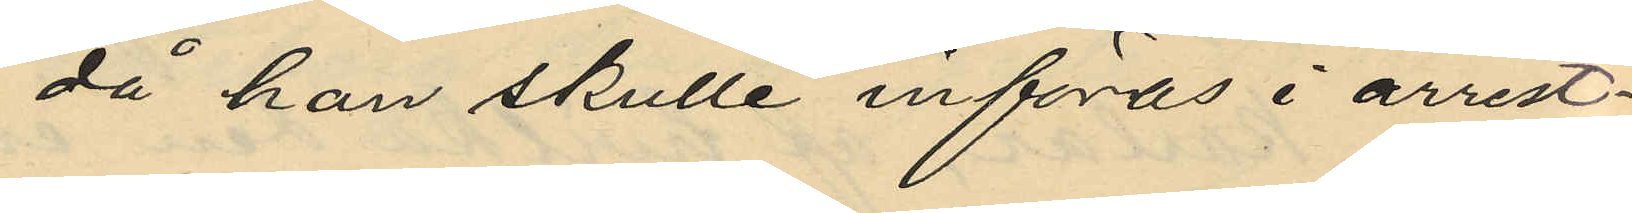då han skulle införas i arrest¬
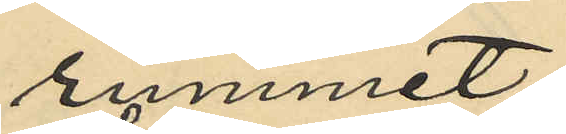rummet.
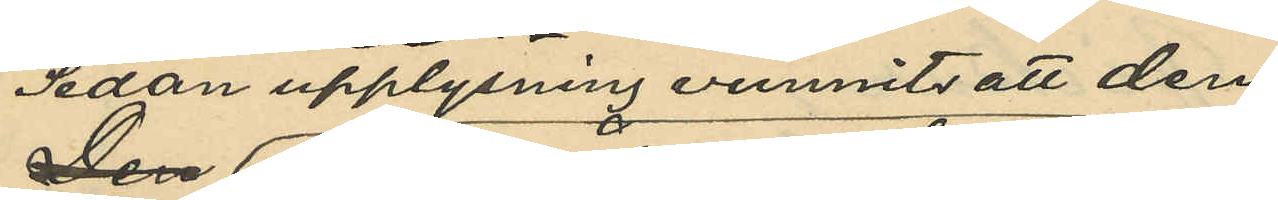Seden upplysning vunnits att den
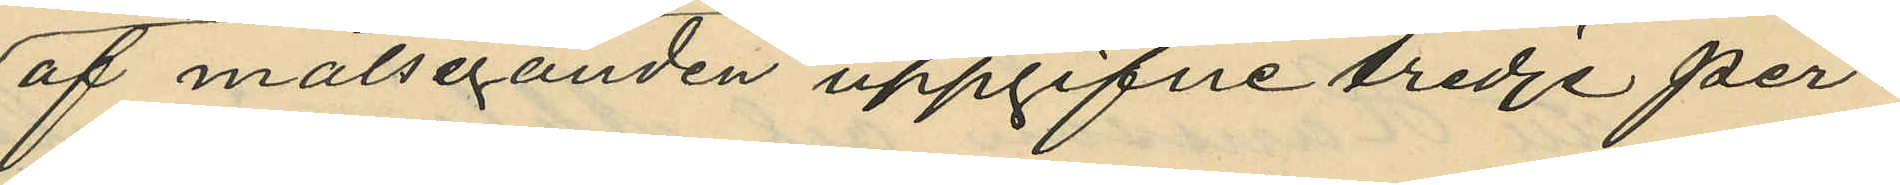af målseganden uppgifne tredje per¬
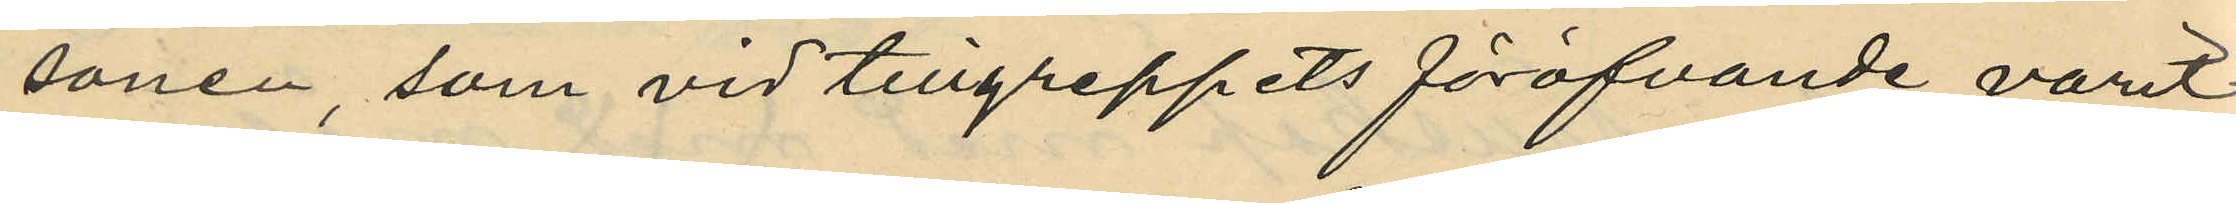sonen, som vid tillgreppets föröfvande varit
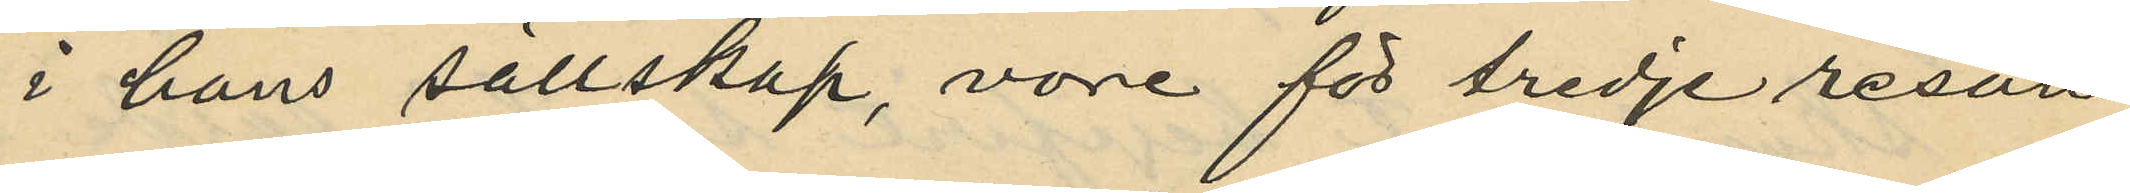i hans sällskap, vore för tredje resan
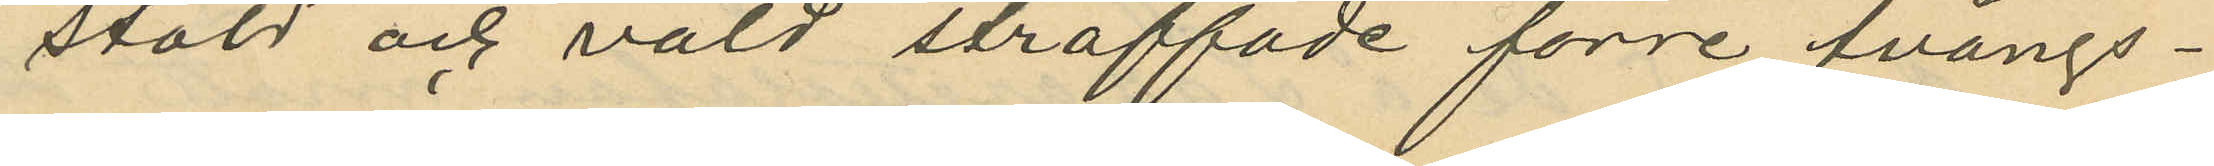stöld och våld straffade förre tvångs¬
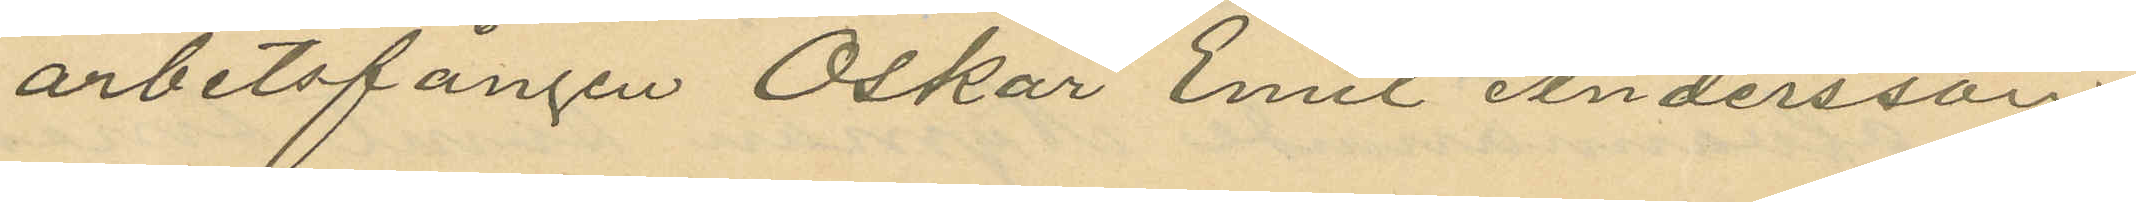arbetsfången Oskar Emil Andersson,
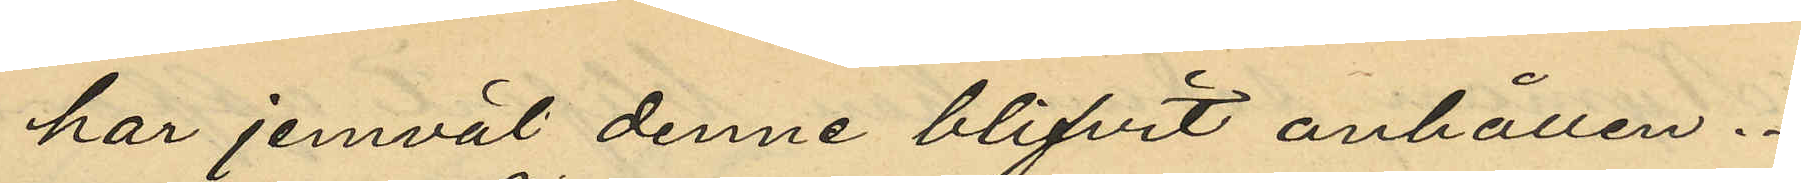har jemväl denne blifvit anhållen.
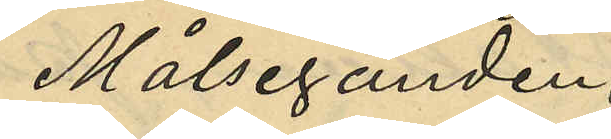Målseganden
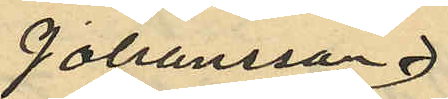Johansson
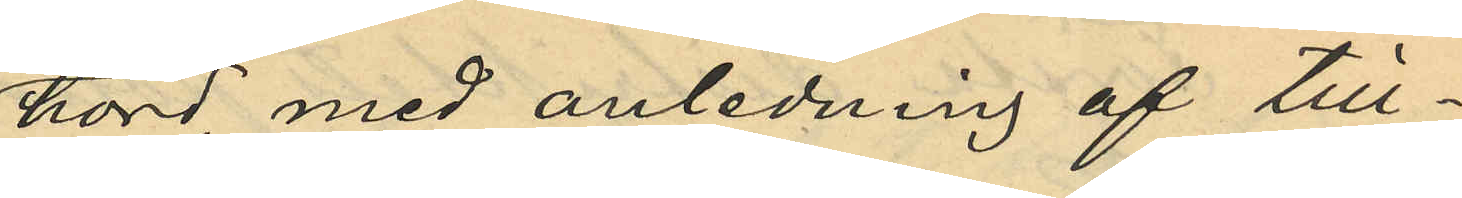hörd med anledning af till¬
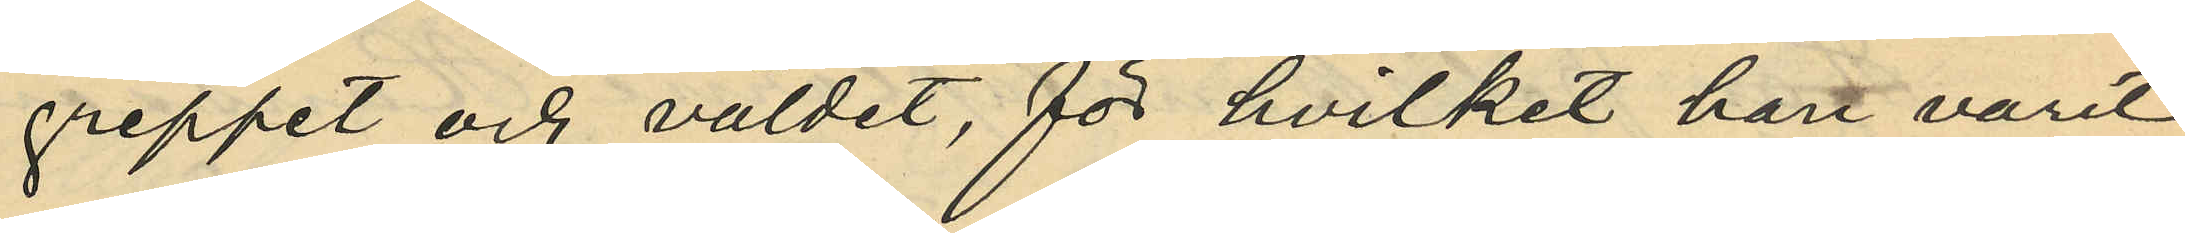greppet och våldet, för hvilket hart varit
